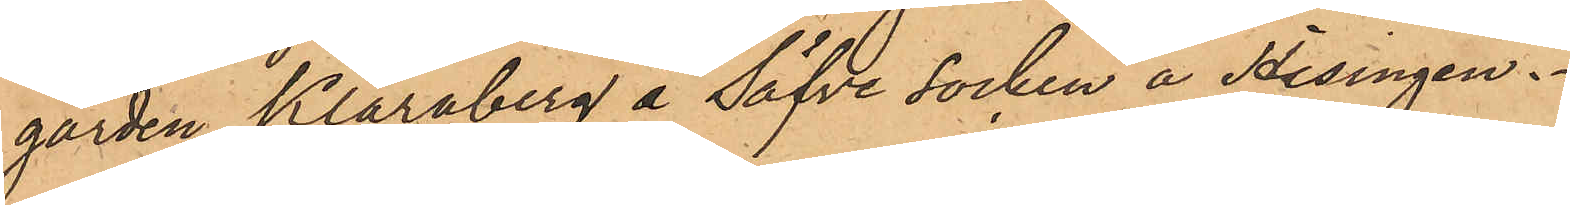gården Klaraberg å Säfve socken å Hisingen.
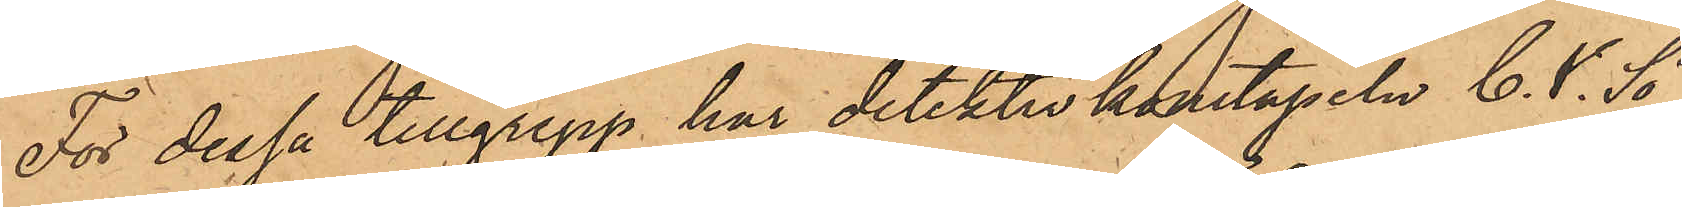För dessa tillgrepp har detektivkonstapeln C. V. Sö¬
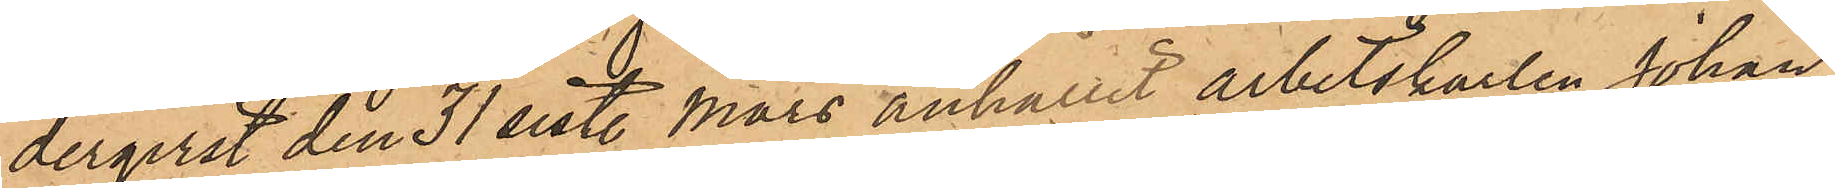derqvist den 31 sist. Mars anhållit arbetskarlen Johan
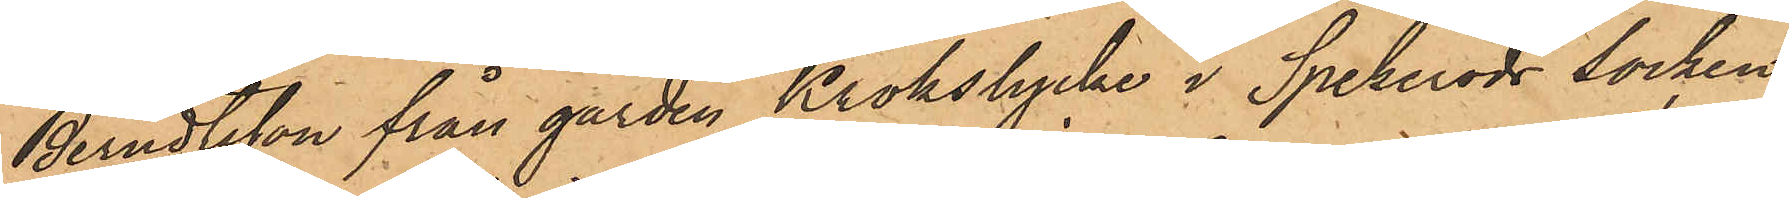Berndtsson från gården Krokslycke i Spekeröds socken
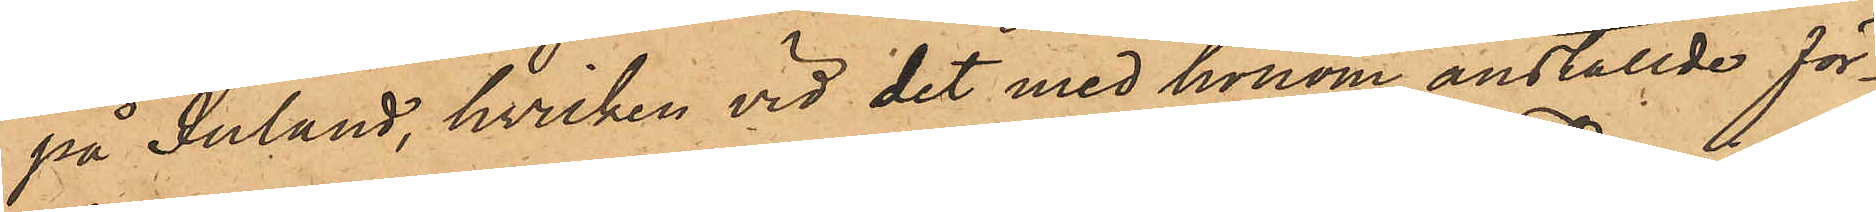på Inland, hvilken vid det med honom anställde för¬
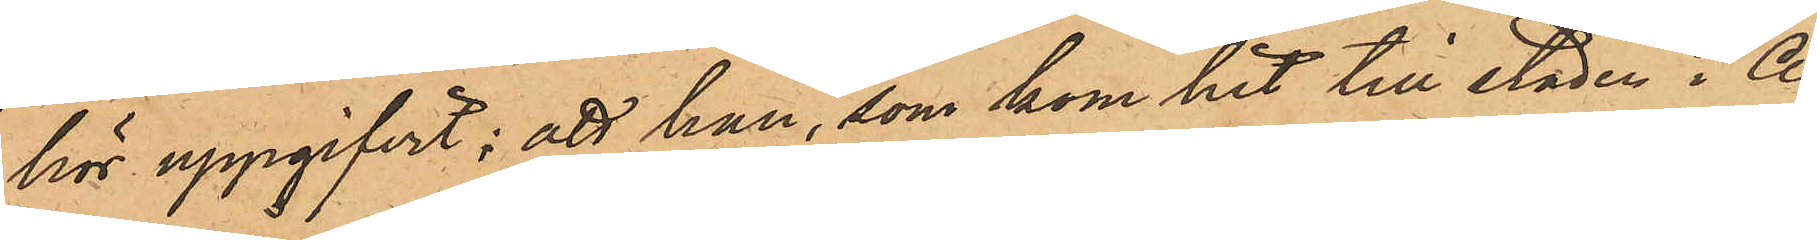hör uppgifvit; att han, som kom hit till staden i A¬
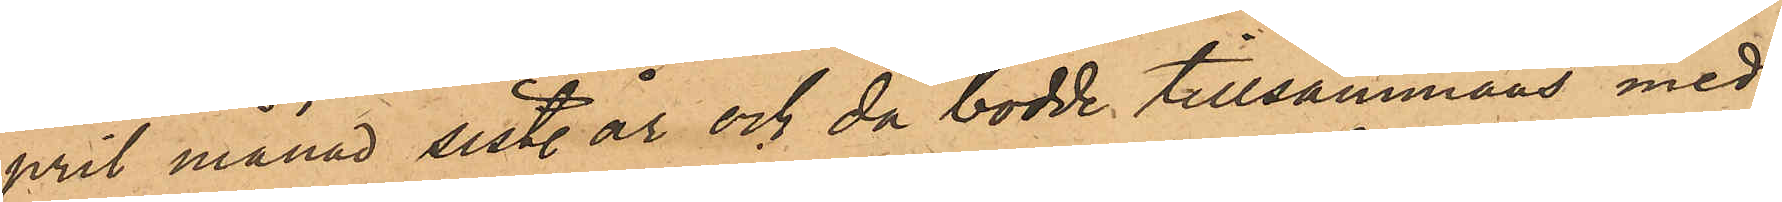pril månad sist. år och då bodde tillsammans med
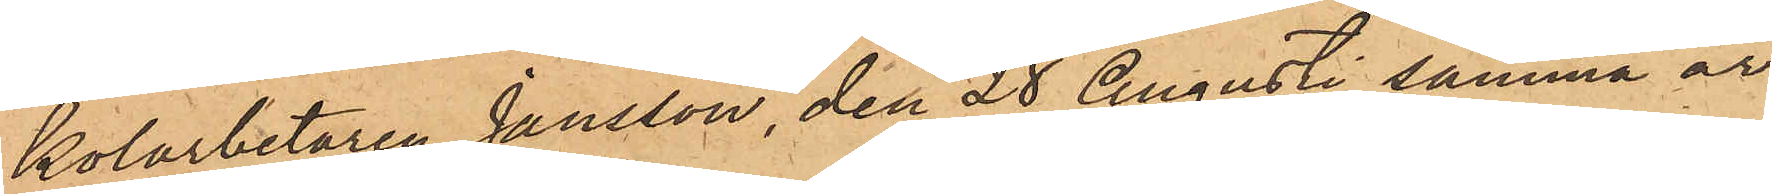Kolarbetaren Jansson, den 28 Augusti samma år,
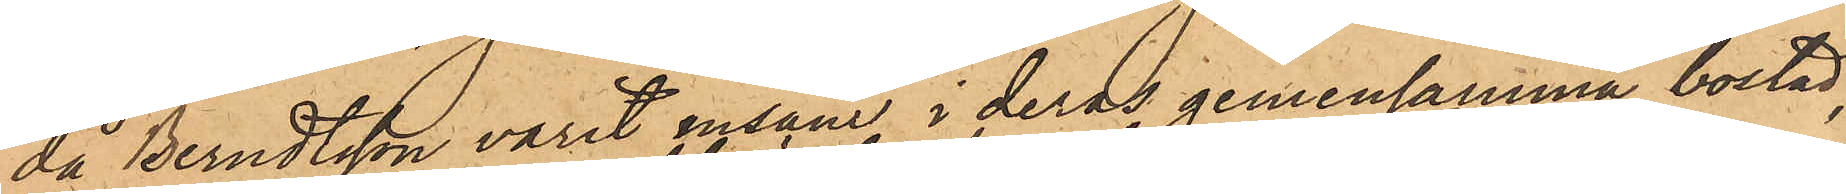då Berndtsson varit ensam i deras gemensamma bostad,
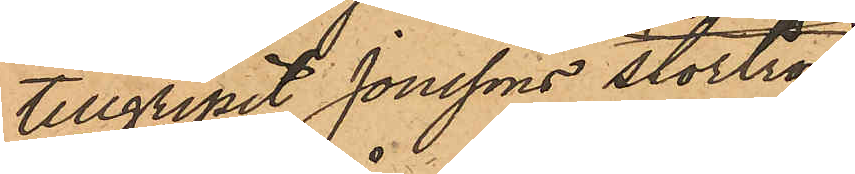tillgripit Jonssons stortröja
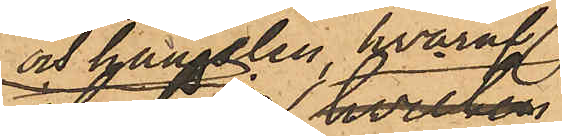och hängslen, hvaraf
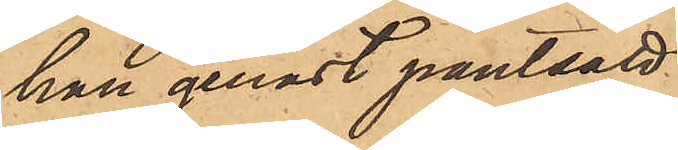han genast pantsatt
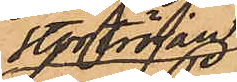stortröjan
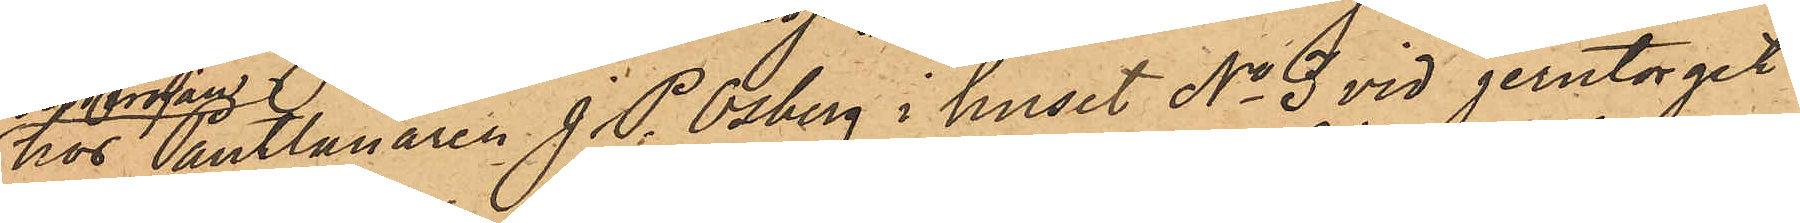hos Pantlånaren J. P. Osberg i huset No 3 vid Jerntorget
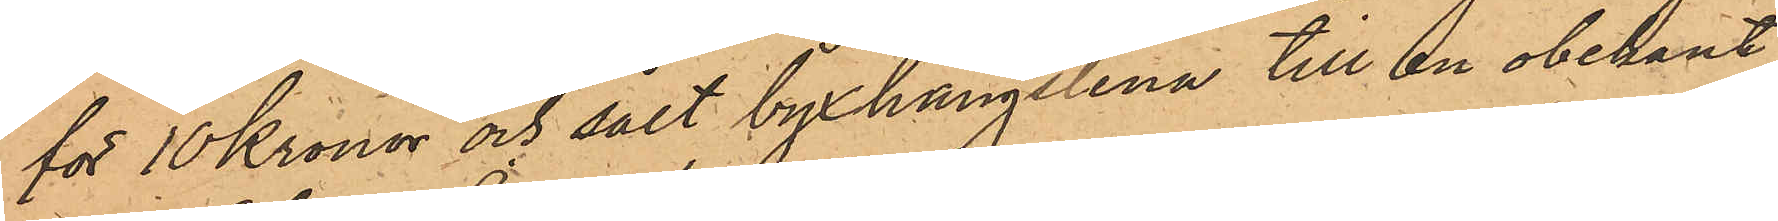för 10 Kronor och sålt byxhängslena till en obekant
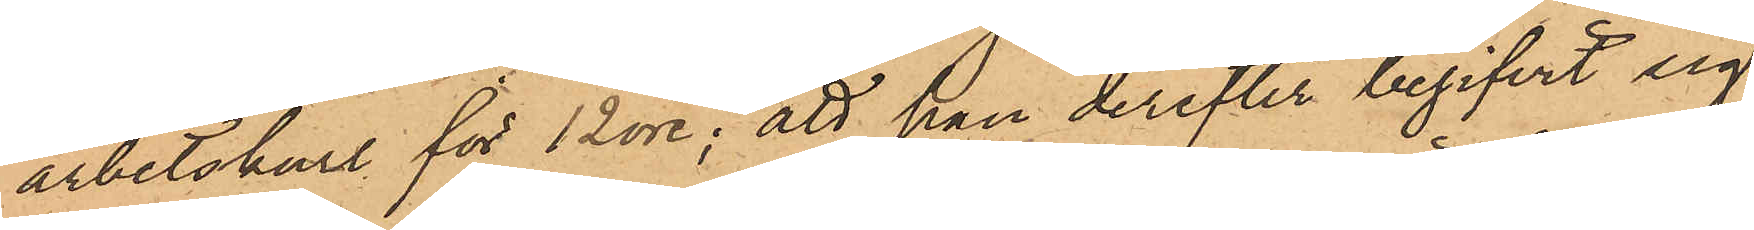arbetskarl för 12 öre; att han derefter begifvit sig
